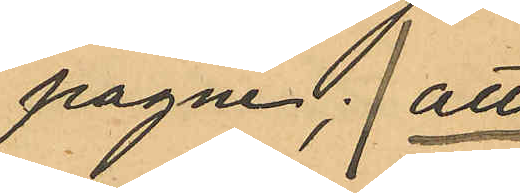pagne; att
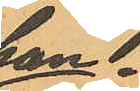han
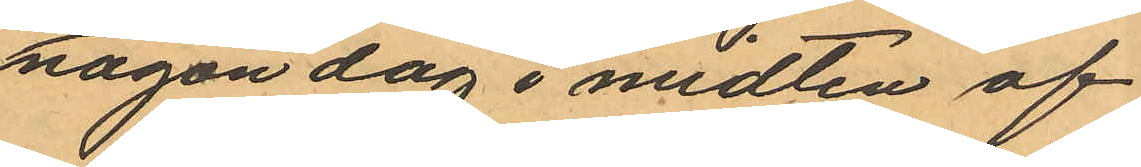någon dag i midten af
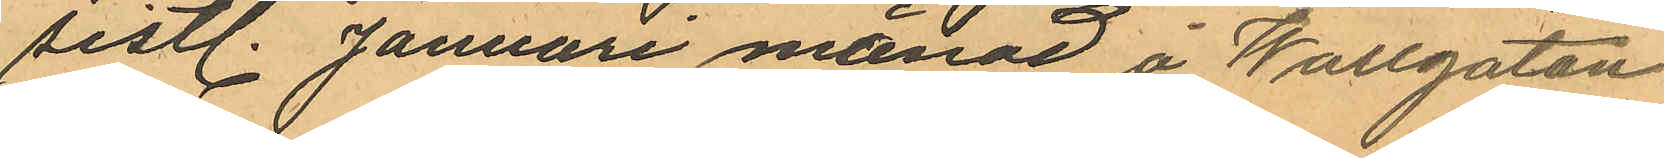sistl. Januari månad å Wallgatan
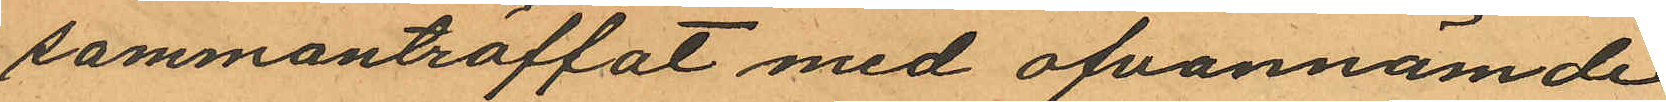sammanträffat med ofvannämde
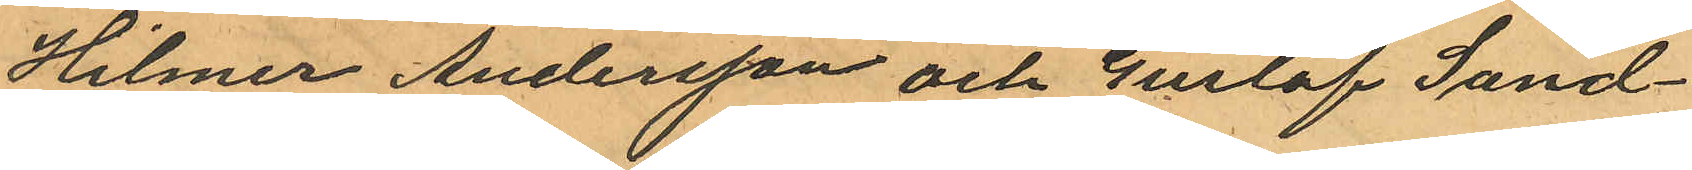Hilmer Andersson och Gustaf Sand¬
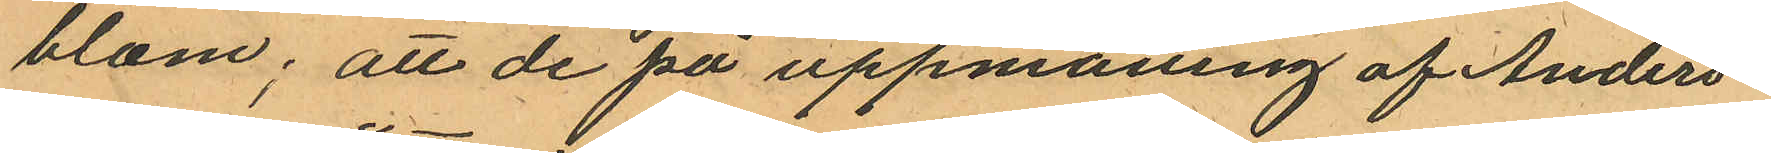blom; att de på uppmaning af Anders¬
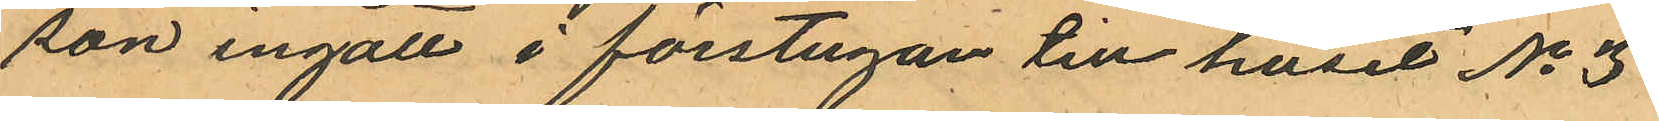son ingått i förstugan till huset No 3
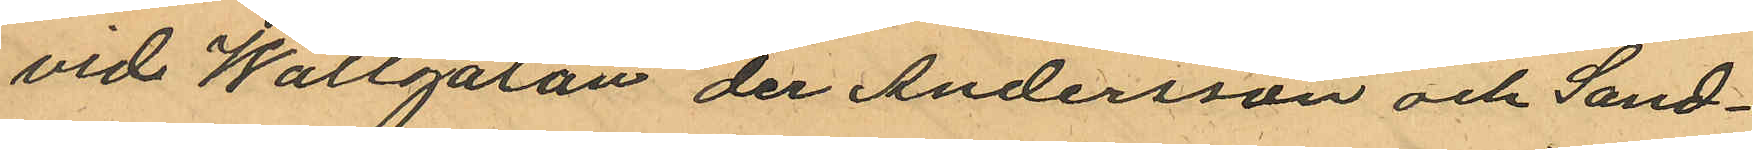vid Wallgatan der Andersson och Sand¬
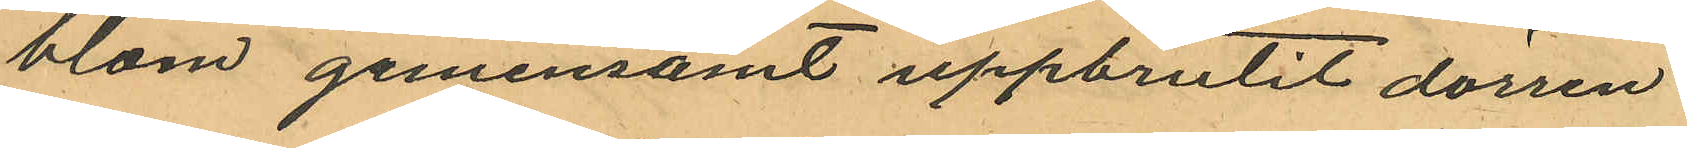blom gemensamt uppbrutit dörren
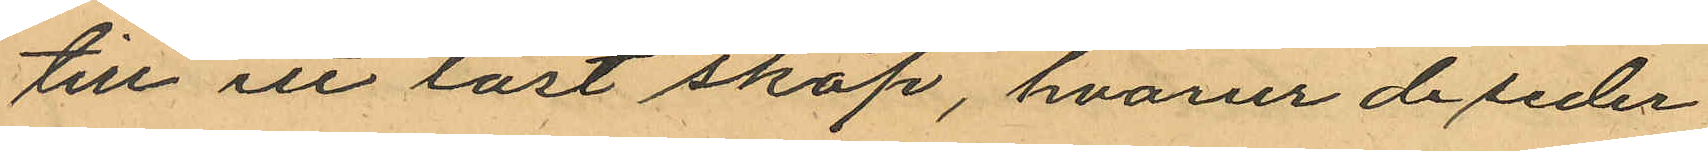till ett låst skåp, hvarur de seder
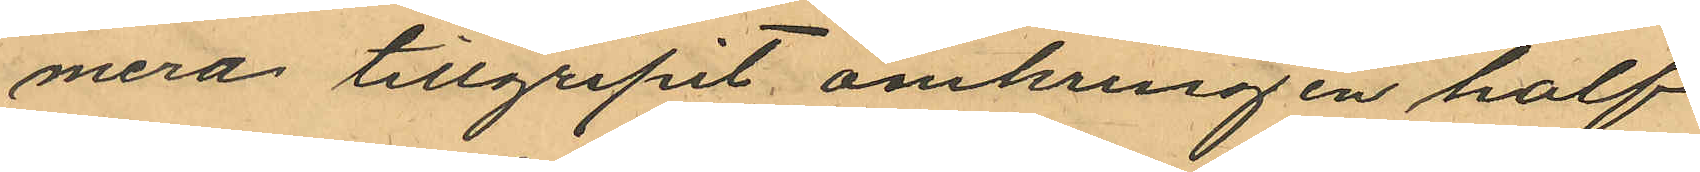mera tillgripit omkring en half
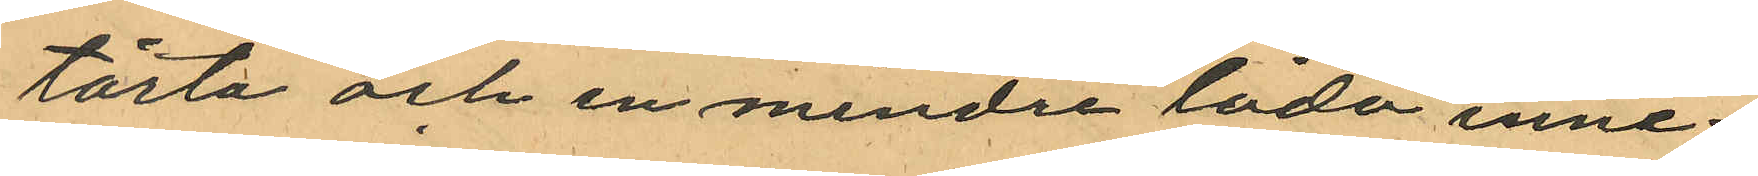tårta och en mindre låda inne¬
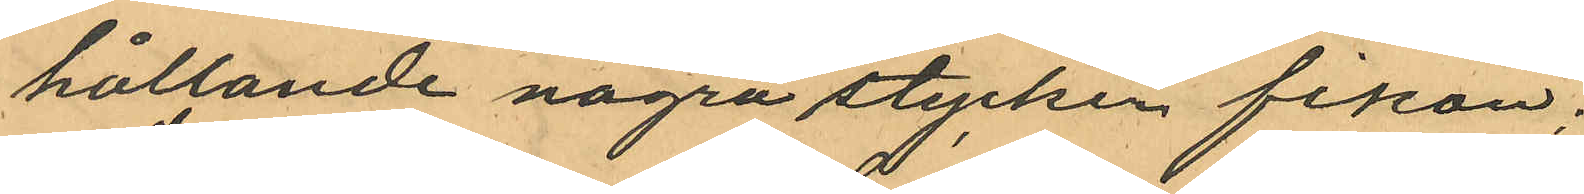hållande några stycken fikon;
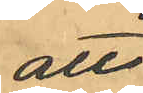att
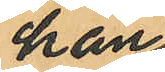han
